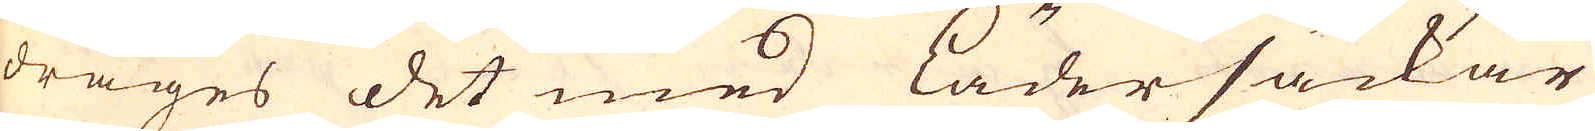drages det med lädersäckar
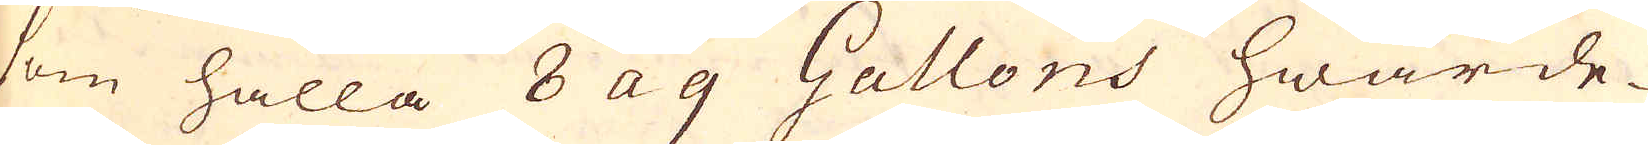som hålla 8 a 9 Gallons hwarde-
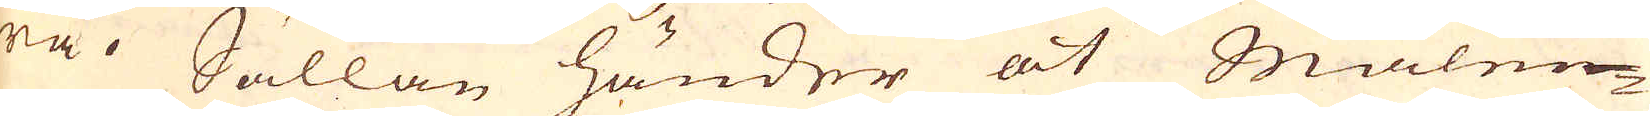ra. Sällan händer at Malm-
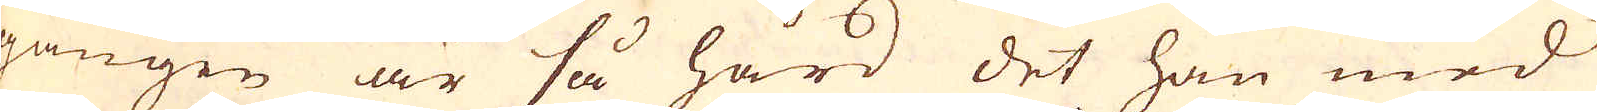gången är så hård det han med
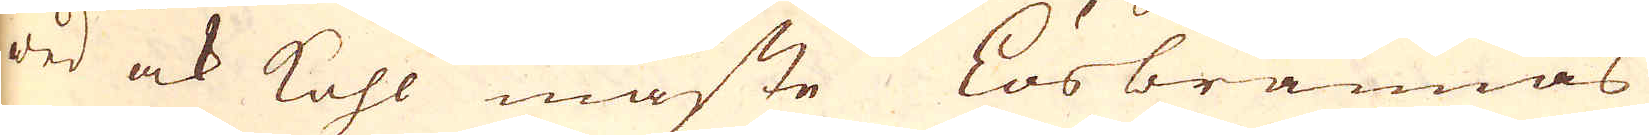wed ock kohl måste Lösbrännas
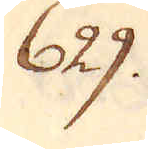629.
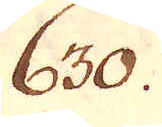630.
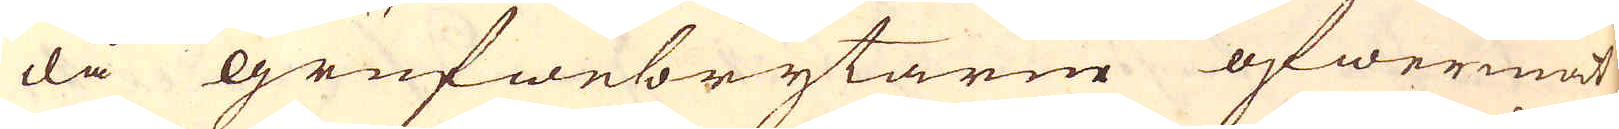då grufwebrytarne öfwermåt-
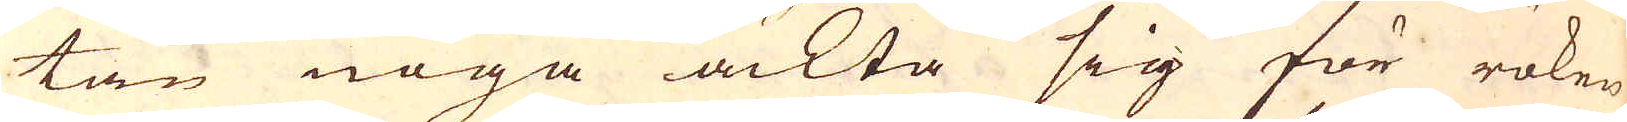tan noga ackta sig för röken
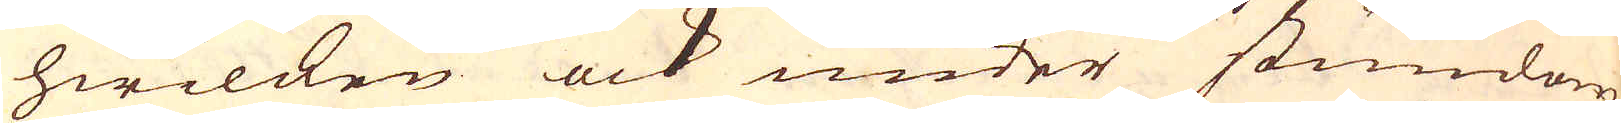hwilcken ock under stundom
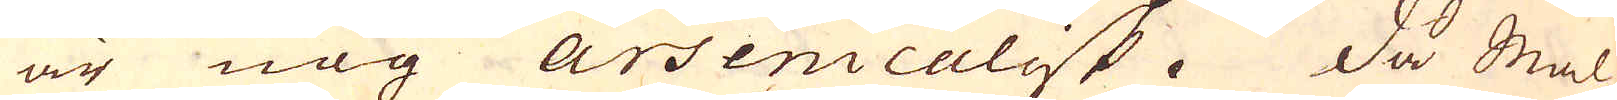är nog Arsenicalisk. Då Mal-
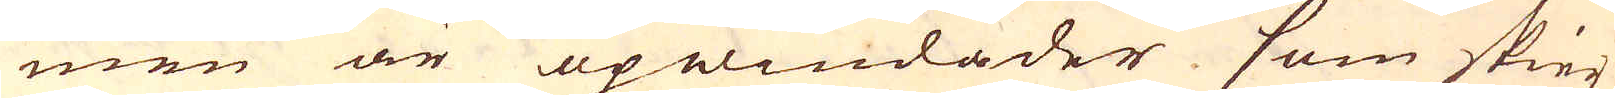men är upwindader som skier
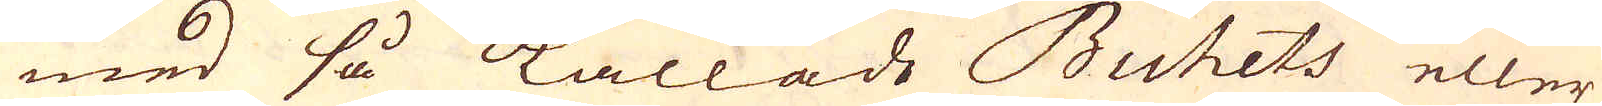med så kallade Buhets eller
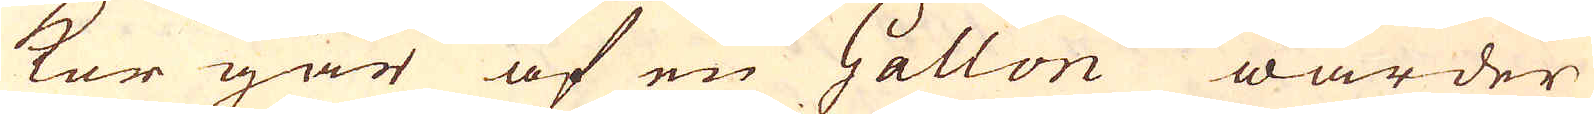korgar af en Gallon warder
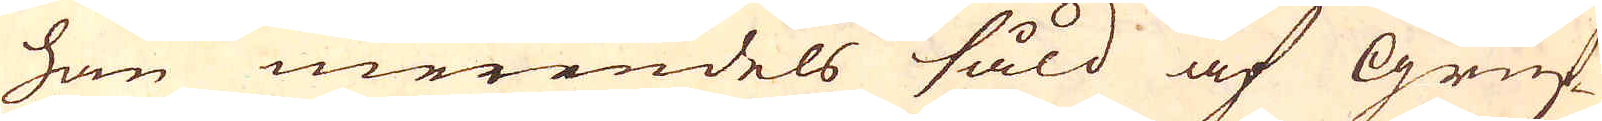han merendels såld af Gruf-
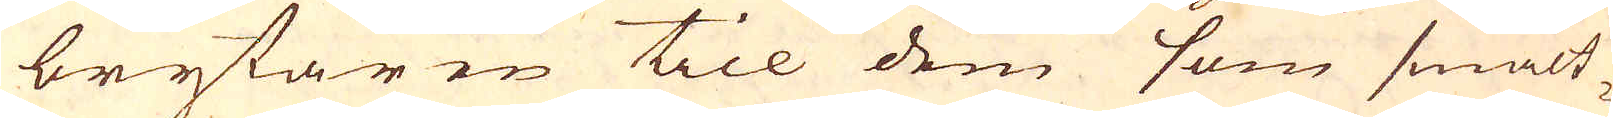brytaren till dem som smält-
